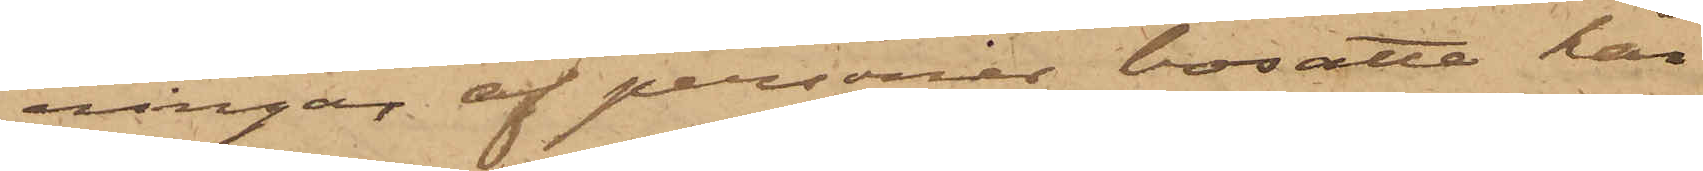ningar af personer bosatte här
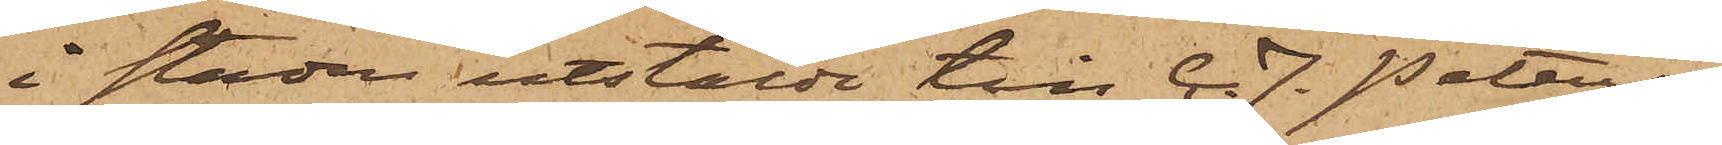i staden utstälde till C. F. Peters¬
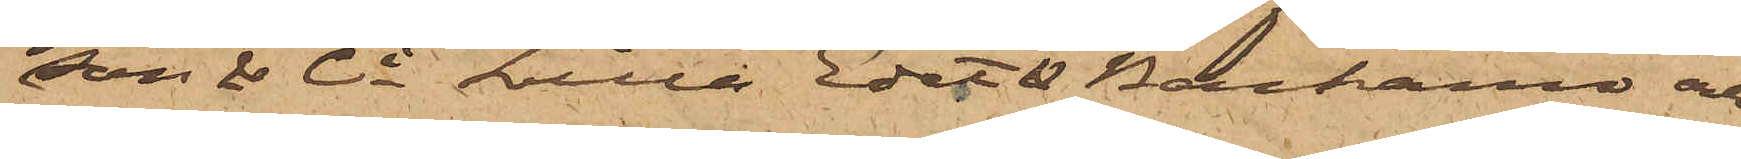son & Ci Lilla Edet & Backamo och
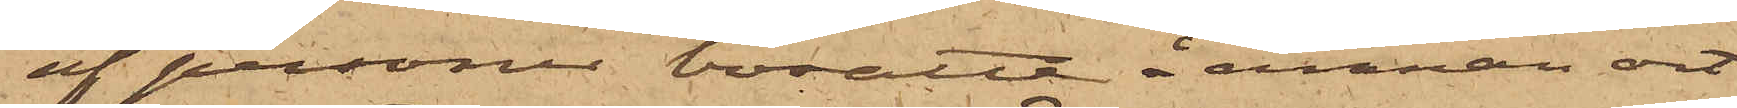af personer bosatte å annan ort
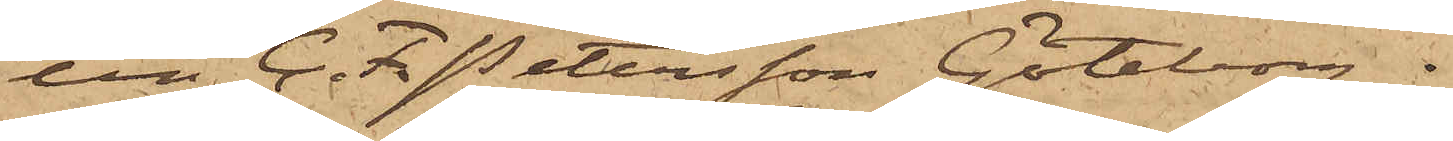till C. F. Petersson Göteborg.
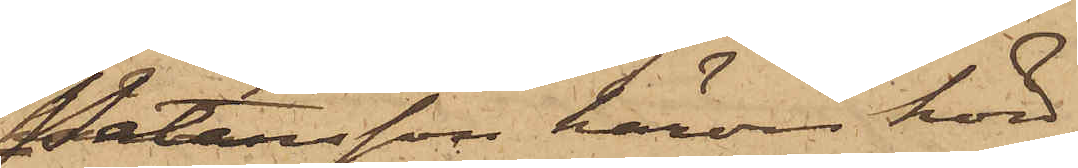Petersson härom hörd,
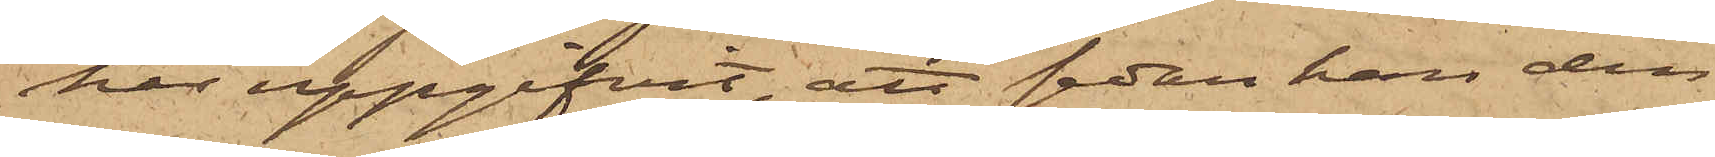har uppgifvit, att sedan han den
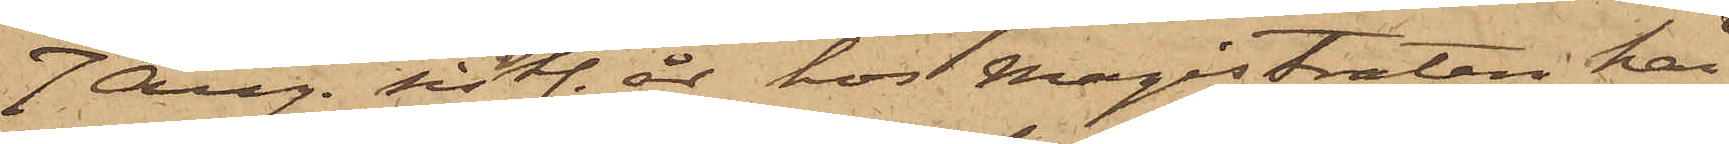7 Aug. sistl. år hos Magistraten här
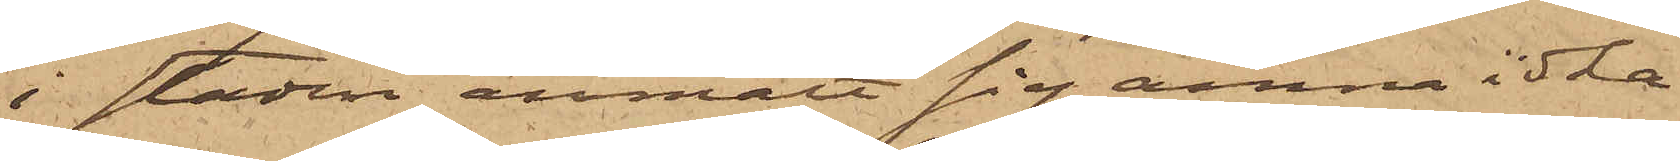i staden anmält sig ämna idka
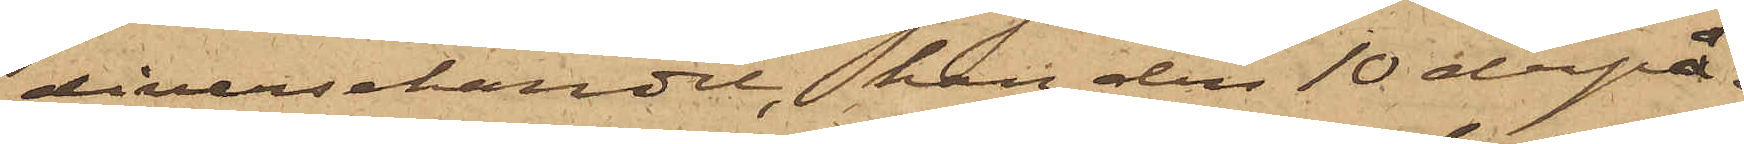diversehandel, han den 10 derpå¬
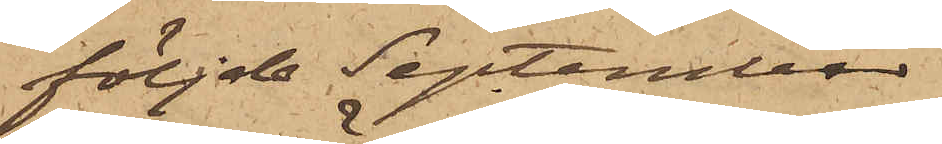följde September
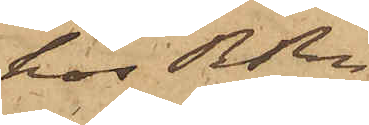hos RRn
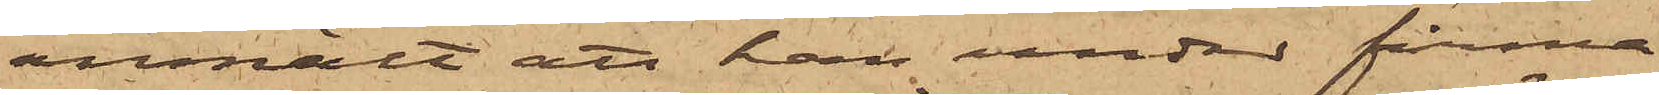anmält att han under firma
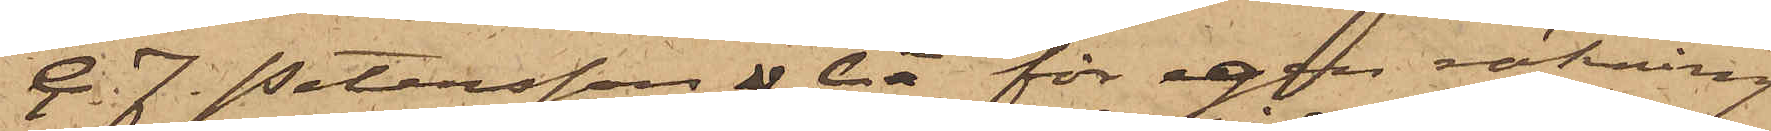C. F. Petersson & Ci för egen räkning
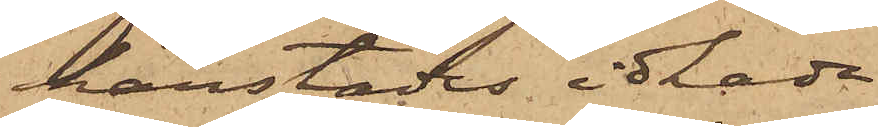härstädes idkade
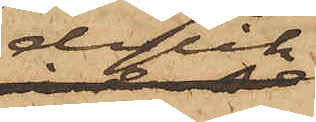dylik
